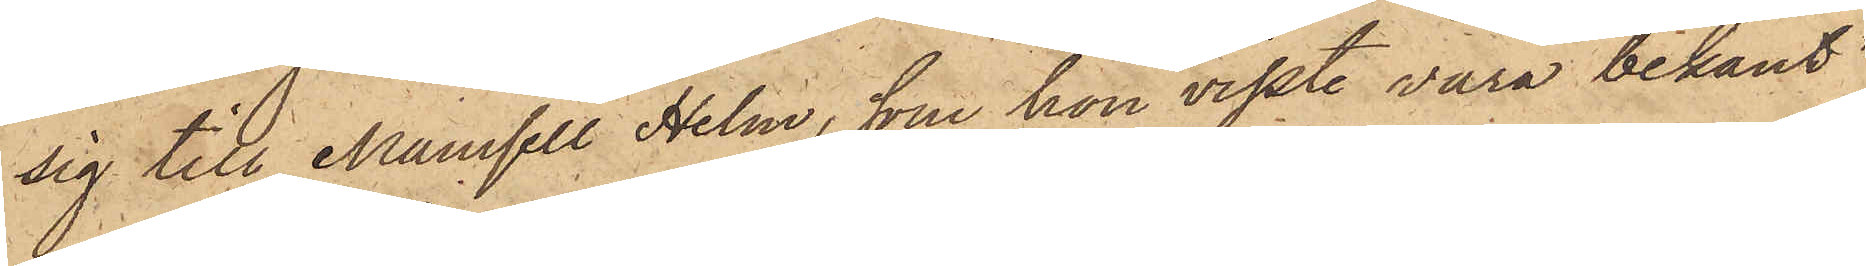sig till Mamsell Helm, som hon visste vara bekant
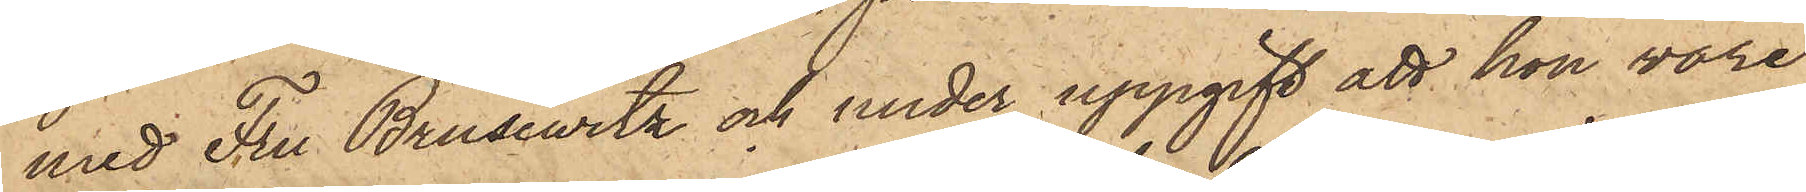med Fru Brusewitz och under uppgift att hon vore
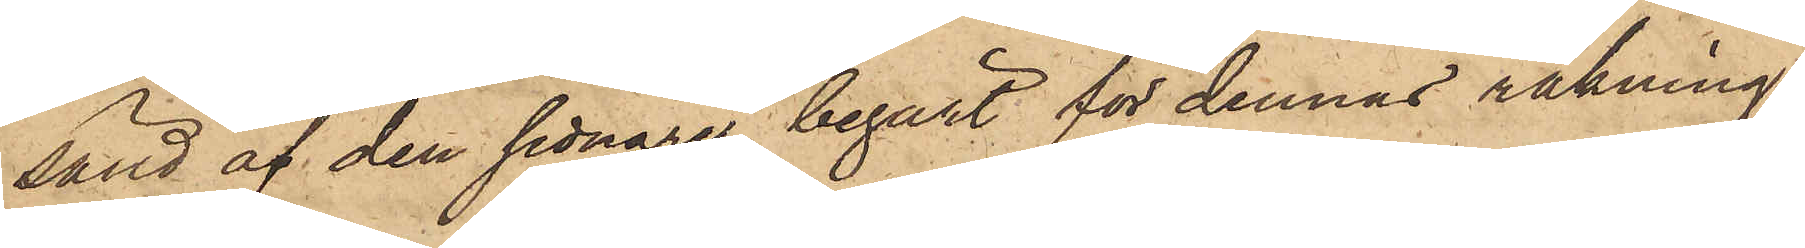sänd af den sednare, begärt för dennas räkning
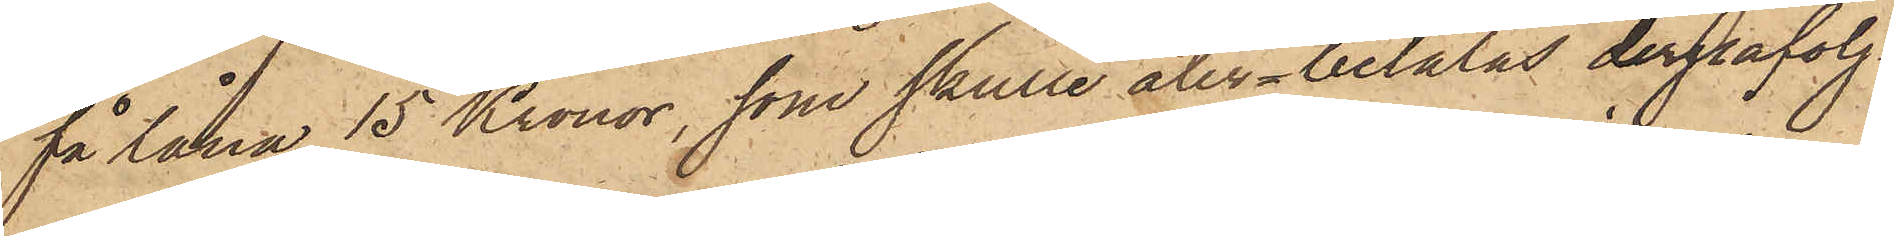få låna 15 Kronor, som skulle återbetalas derpåfölj¬
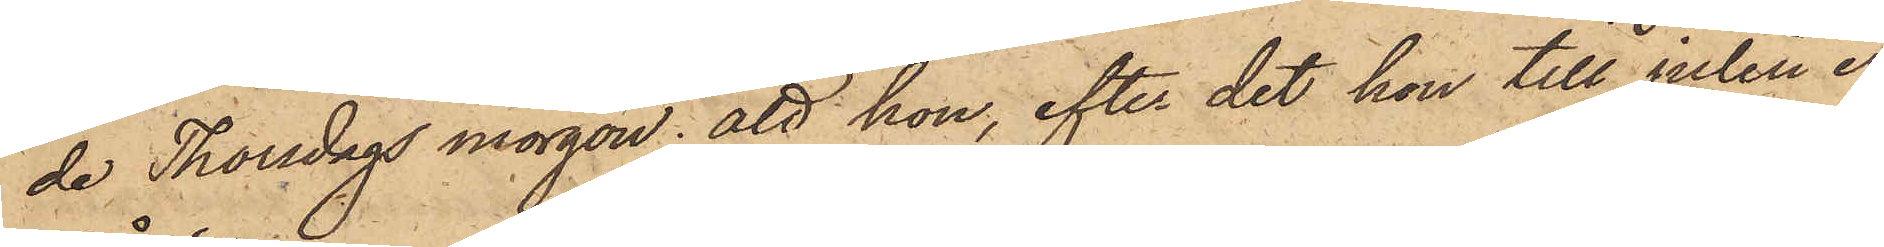de Thorsdags morgon; att hon, efter det hon till julen er¬
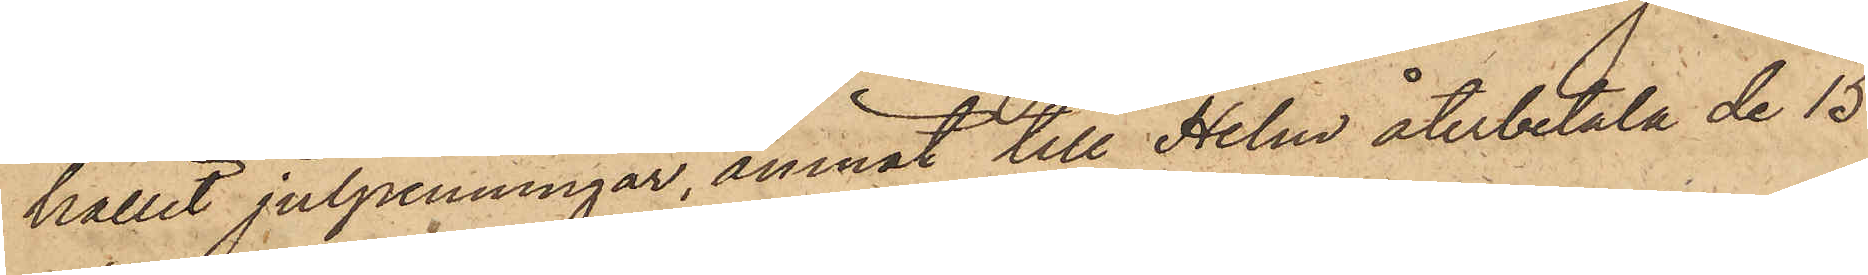hållit julpenningar, ämnat till Helm återbetala de 15
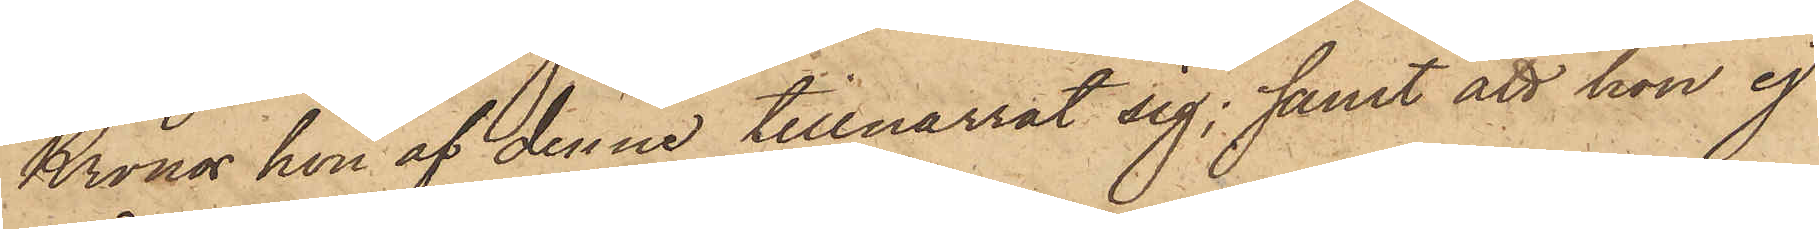Kronor hon af denna tillnarrat sig; samt att hon ej
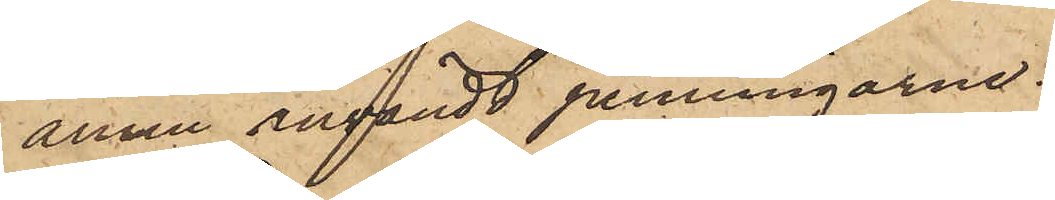ännu användt penningarne.
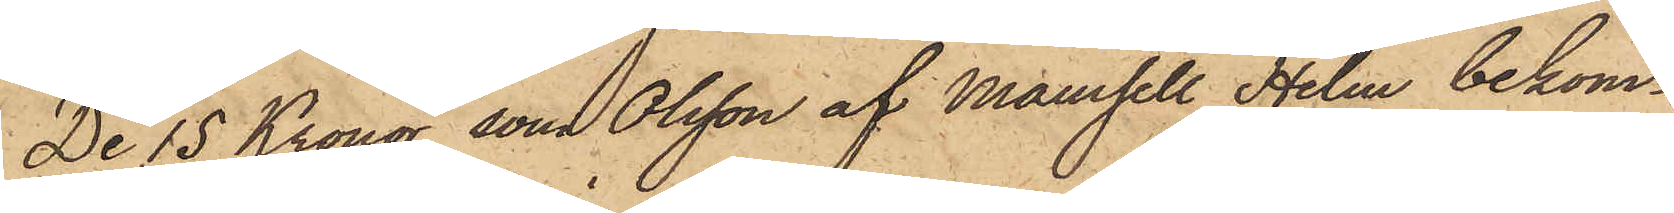De 15 Kronor, som Olsson af Mamsell Helm bekom¬
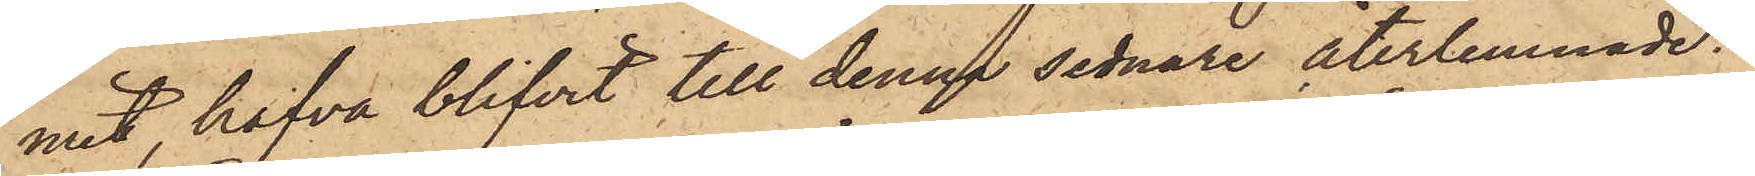mit, hafva blifvit till denna sednare återlemnade.
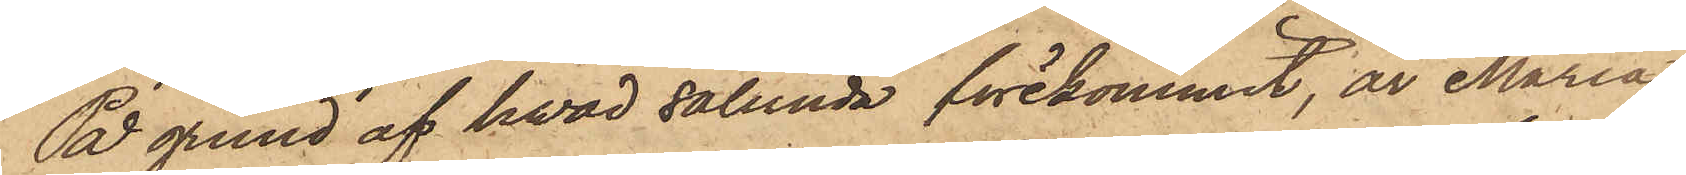På grund af hvad sålunda förekommit, är Maria
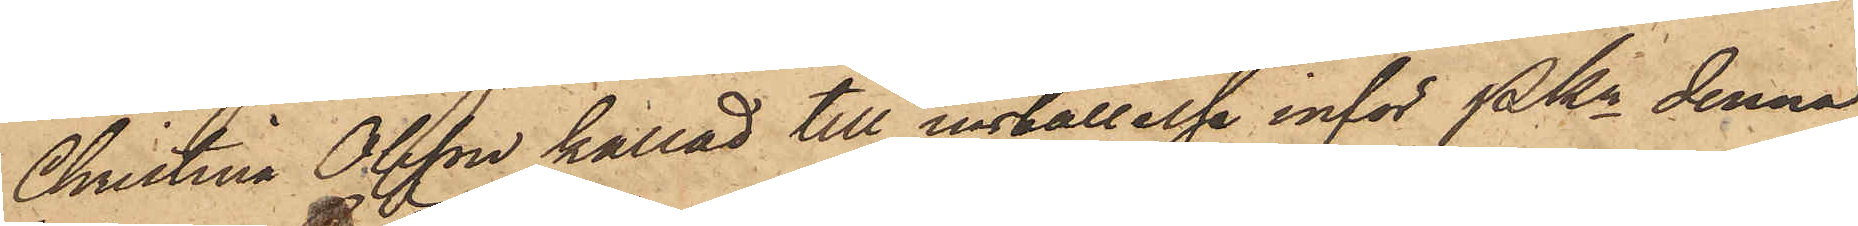Christina Olsson kallad till inställelse inför Pkn denna
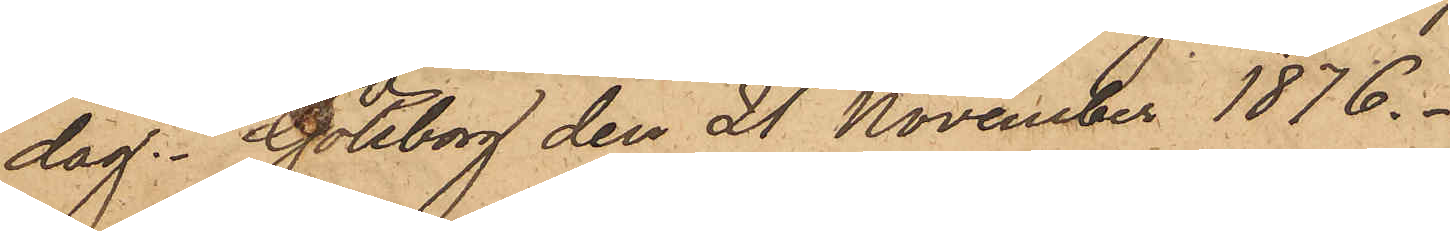dag. Göteborg den 21 November 1876.
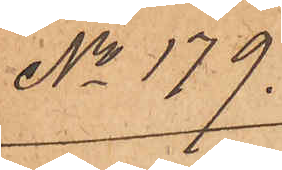No 179.
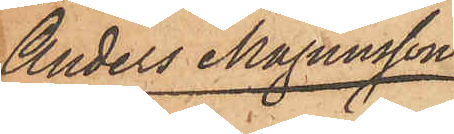Anders Magnusson
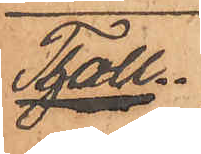Tholl.
